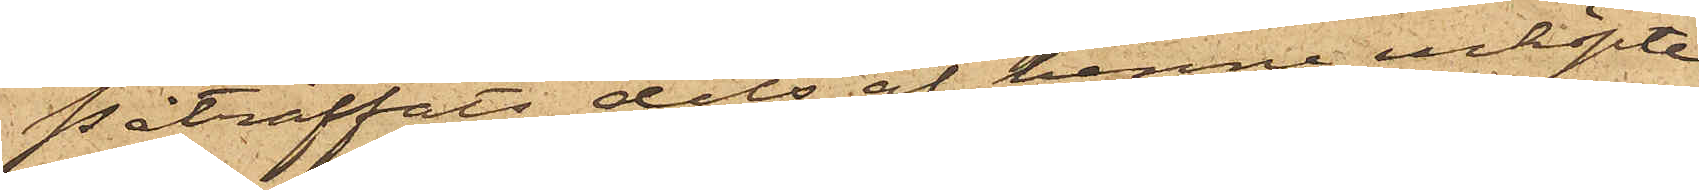påträffats dels af henne inköpte
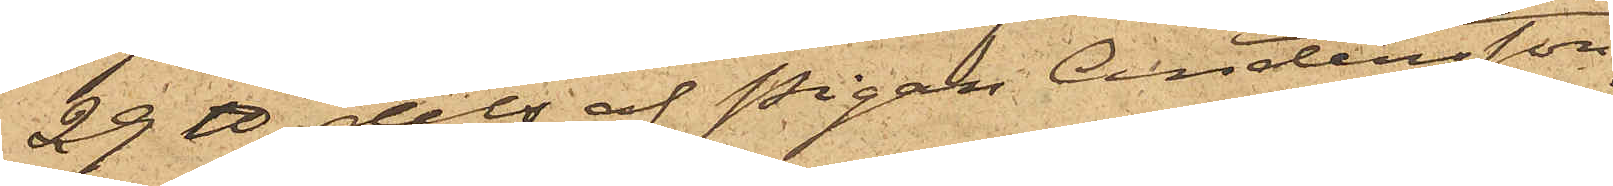29 ℔, dels af Pigan Andersson
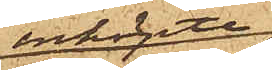inköpte
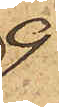9
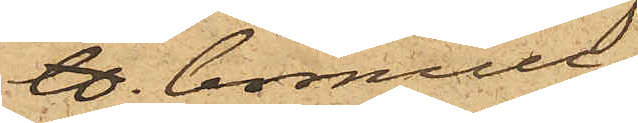℔. bomull;
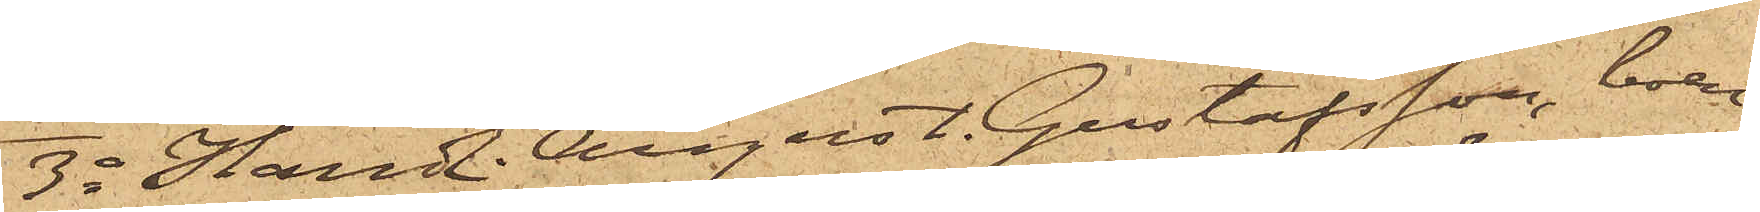3o Handl. August Gustafsson, boen¬
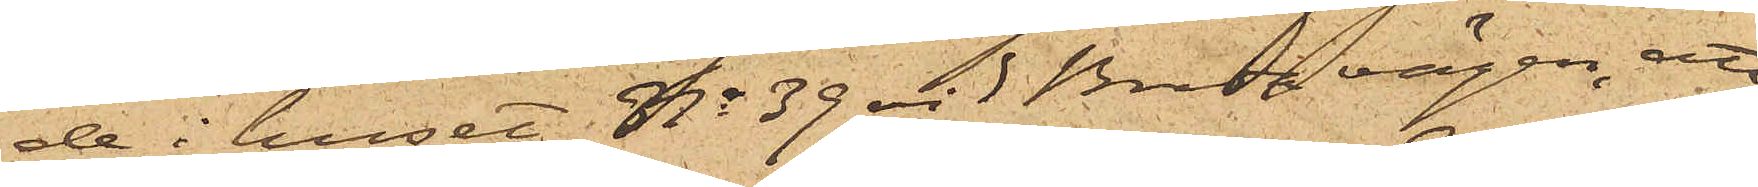de i huset No 39 vid Breda vägen, att
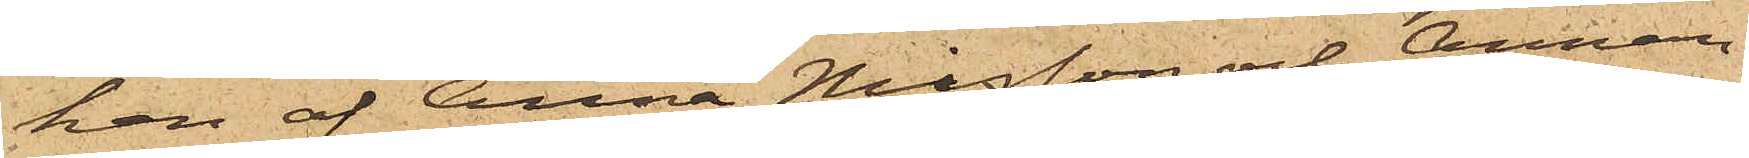han af Anna Nilsson och Aman¬
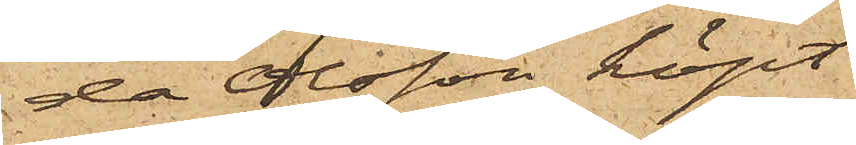da Olsson köpt
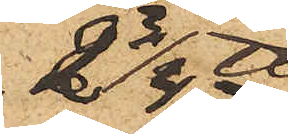2 3/4 ℔
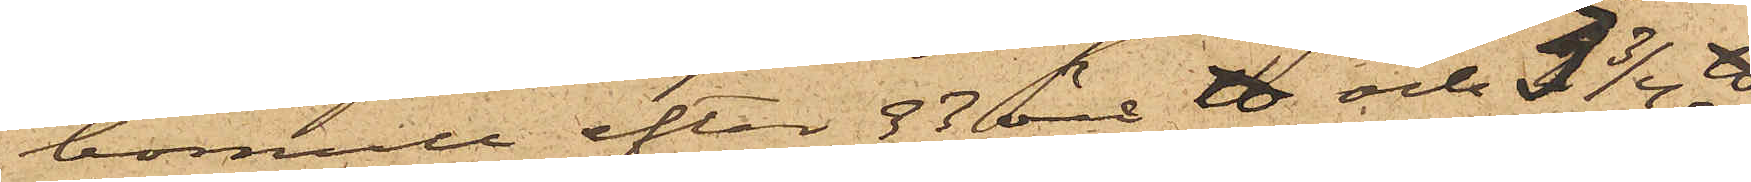bomull efter 33 öre ℔ och 3 3/4 ℔
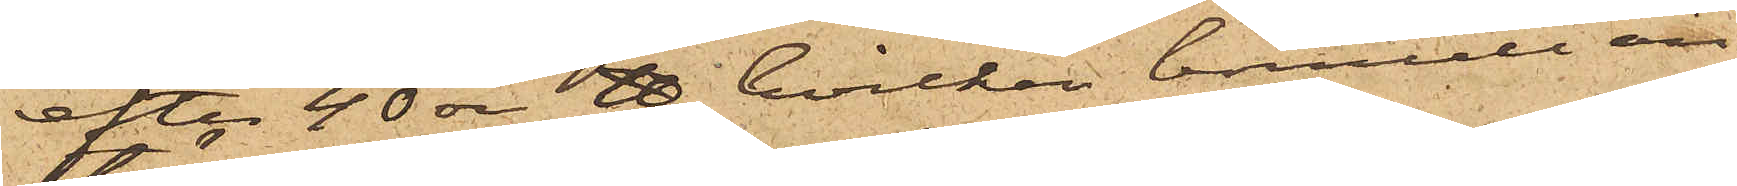efter 40 öre ℔, hvilken bomull an¬
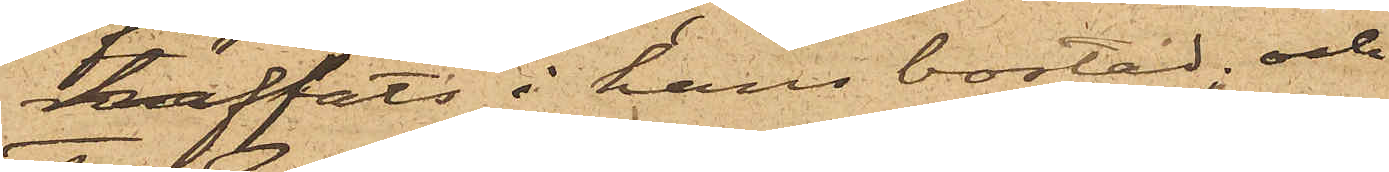träffats i hans bostad; och
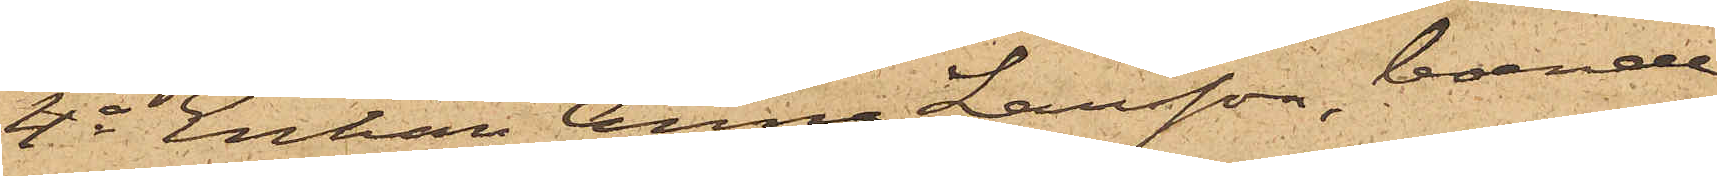4o Enkan Anna Larsson, boende
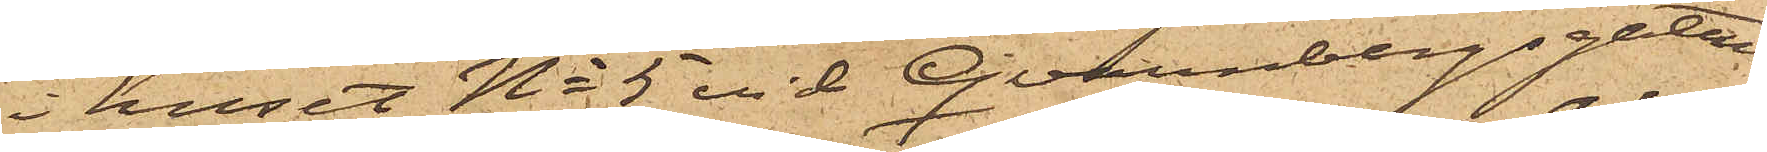i huset No 5 vid Qvarnbergsgatan,
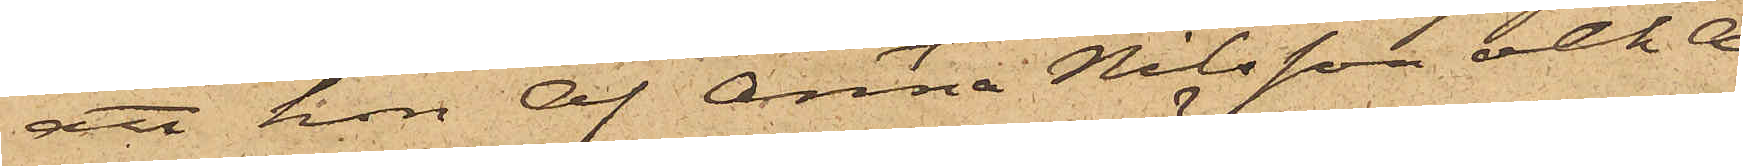att hon af Anna Nilsson och A¬
